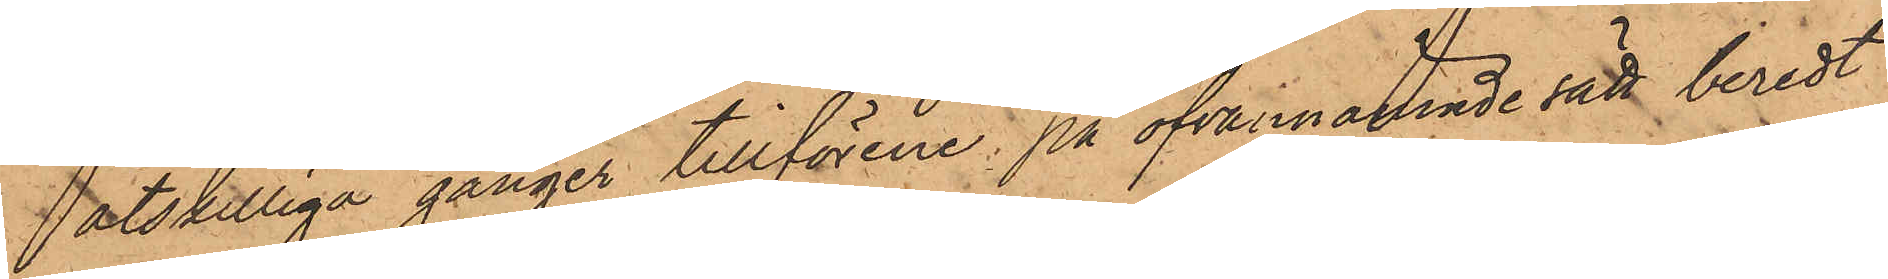åtskilliga gånger tillförene, på ofvannämnde sätt beredt
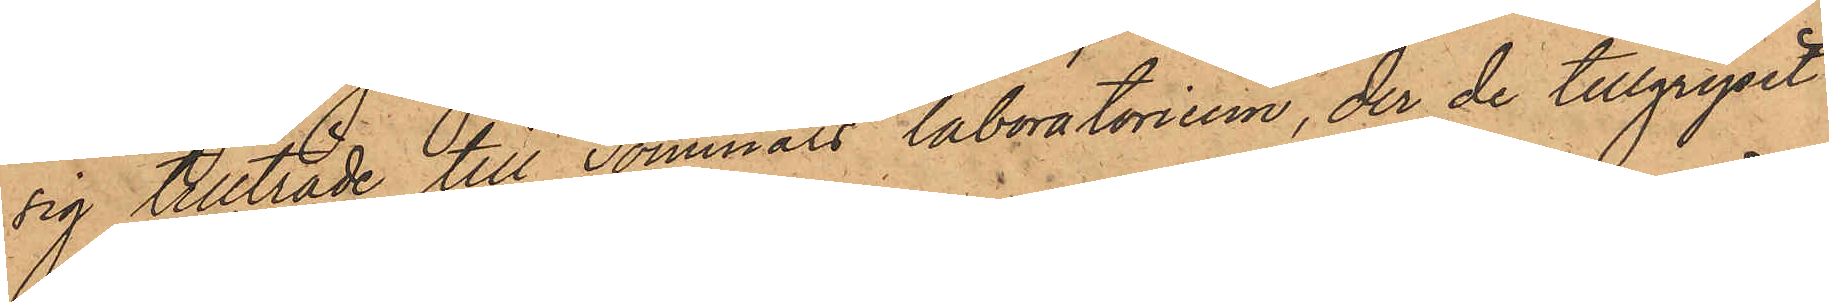sig tillträde till Sommars laboratorium, der de tillgripit
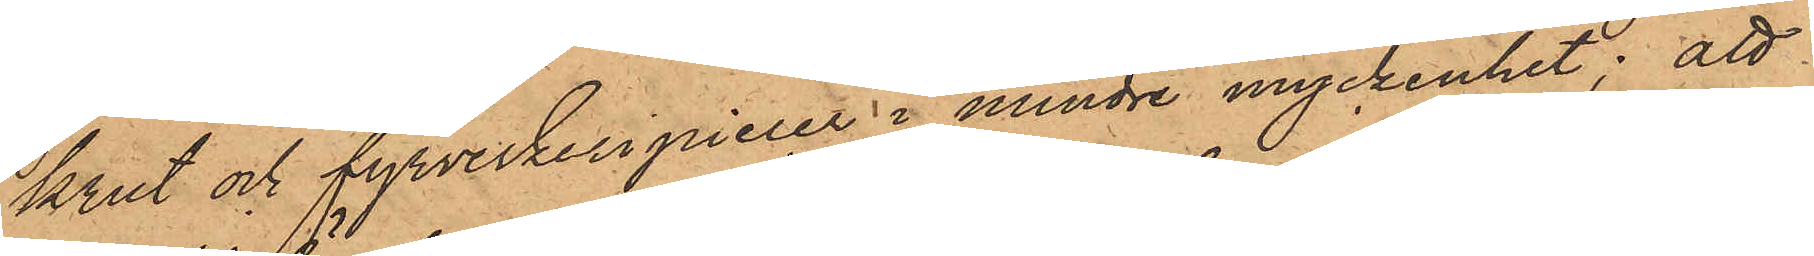krut och fyrverkeripiecer i mindre myckenhet; att
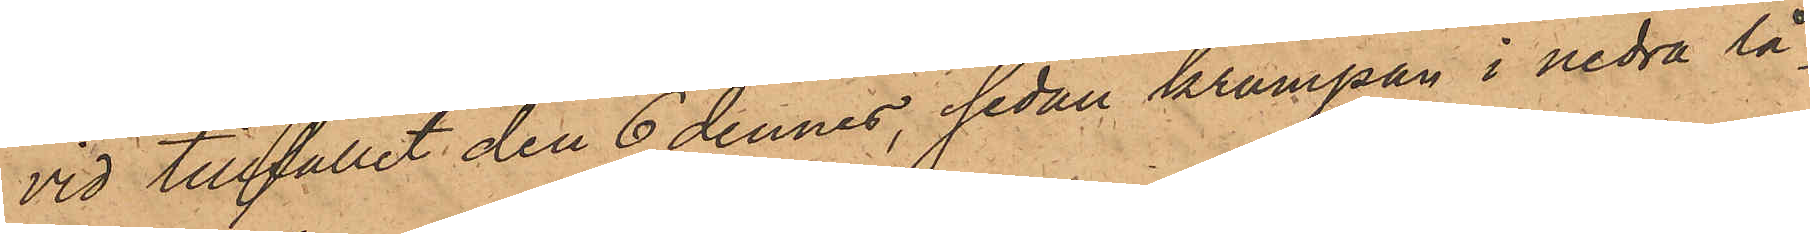vid tillfället den 6 dennes, sedan krampan i nedra lå¬
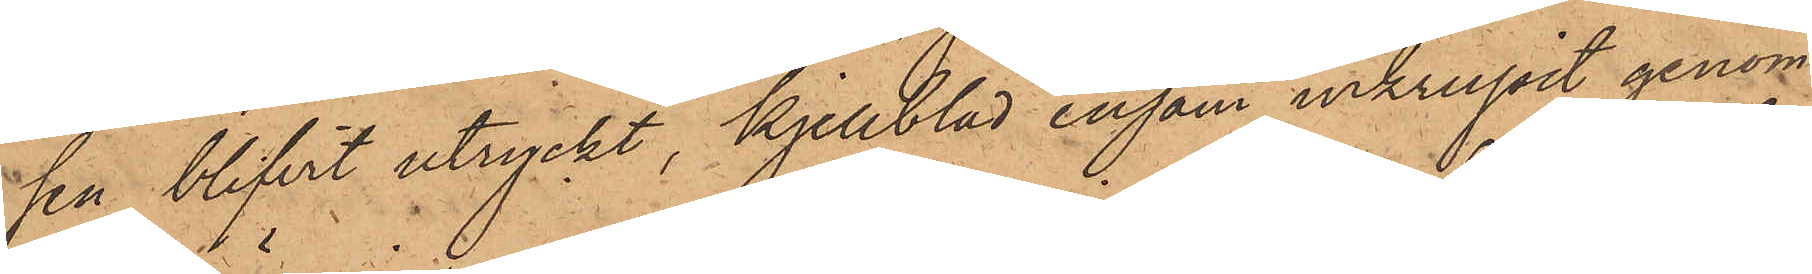sen blifvit utryckt, Kjellblad ensam inkrupit genom
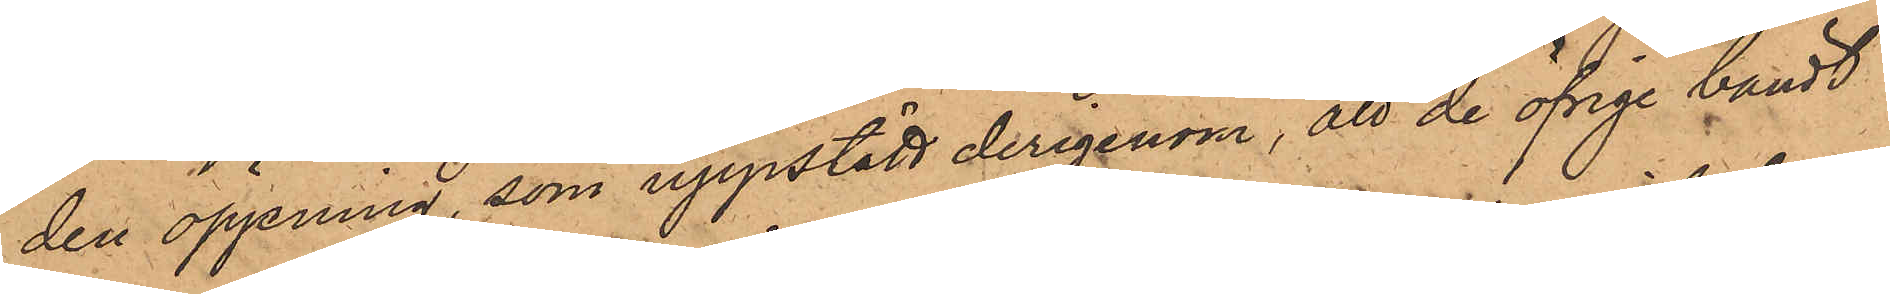den öppning, som uppstått derigenom, att de öfrige bändt
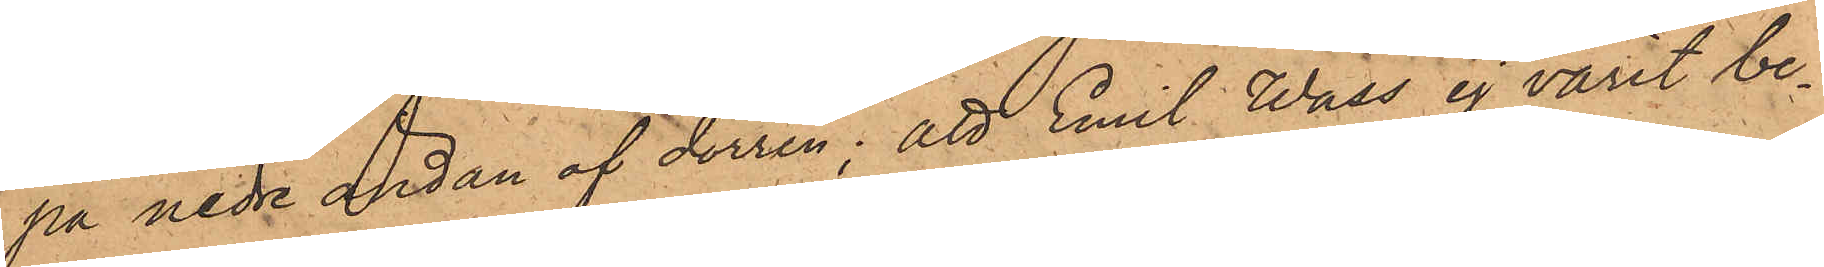på nedre ändan af dörren; att Emil Wass ej varit be¬
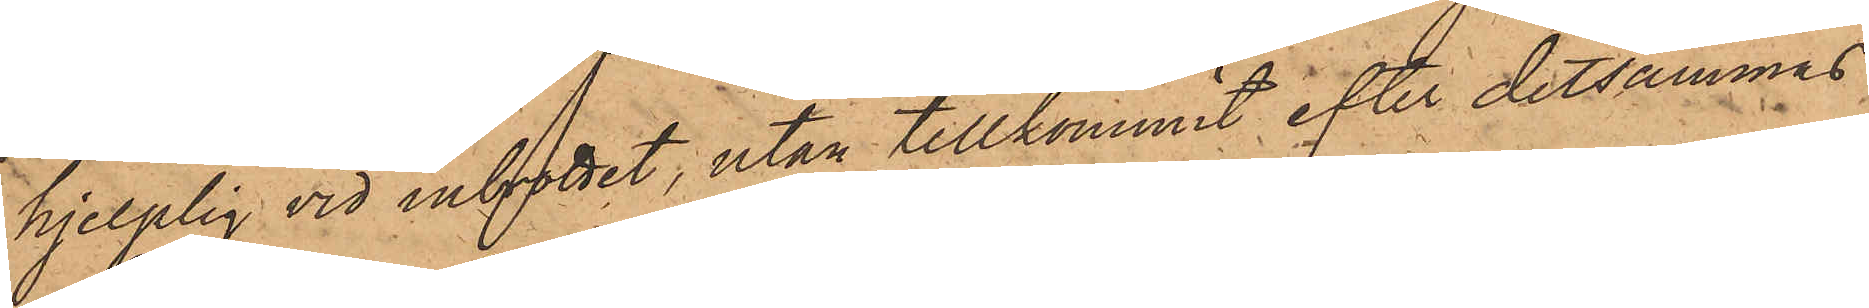hjelplig vid inbrottet, utan tillkommit efter detsammas
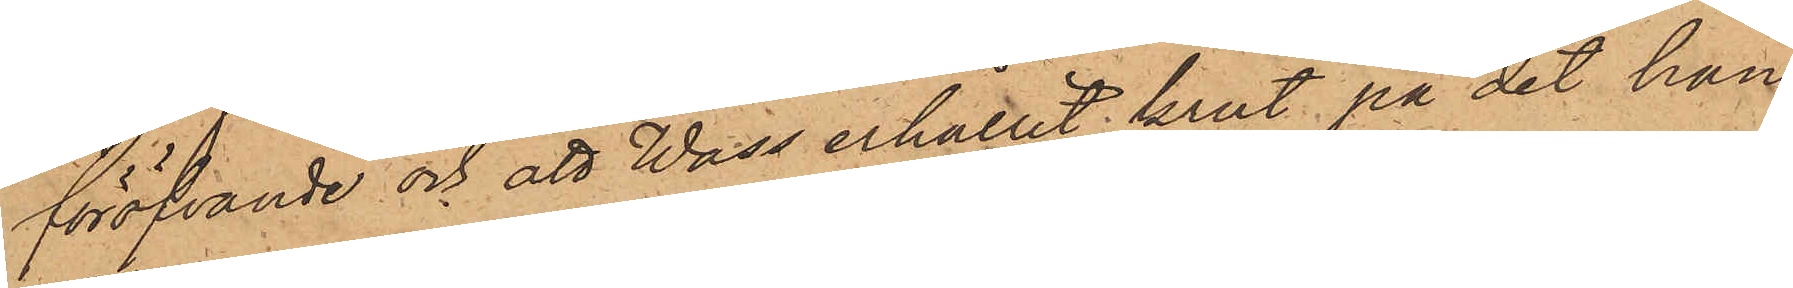föröfvande och att Wass erhållit krut på det han
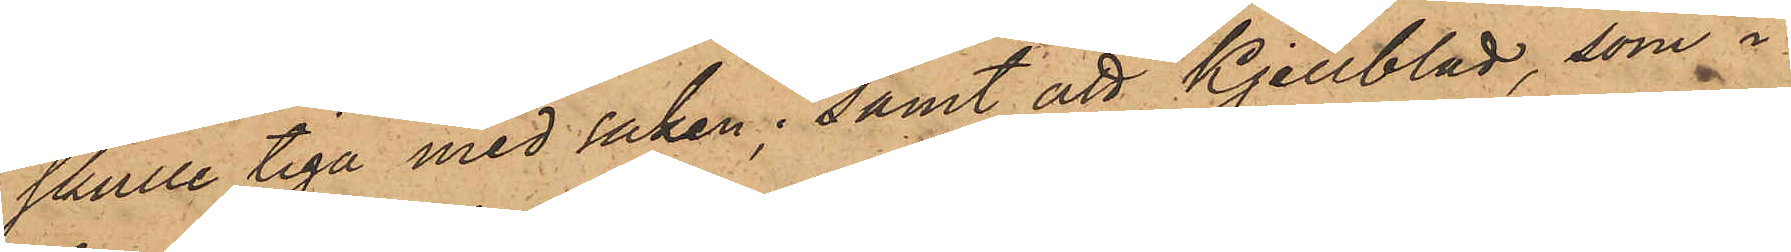skulle tiga med saken; samt att Kjellblad, som i
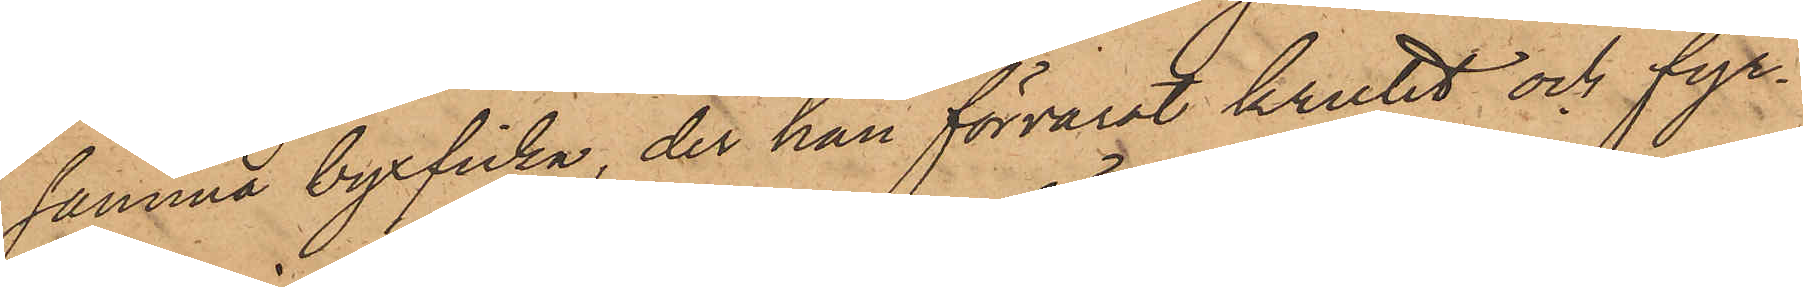samma byxficka, der han förvarat krutet och fyr¬
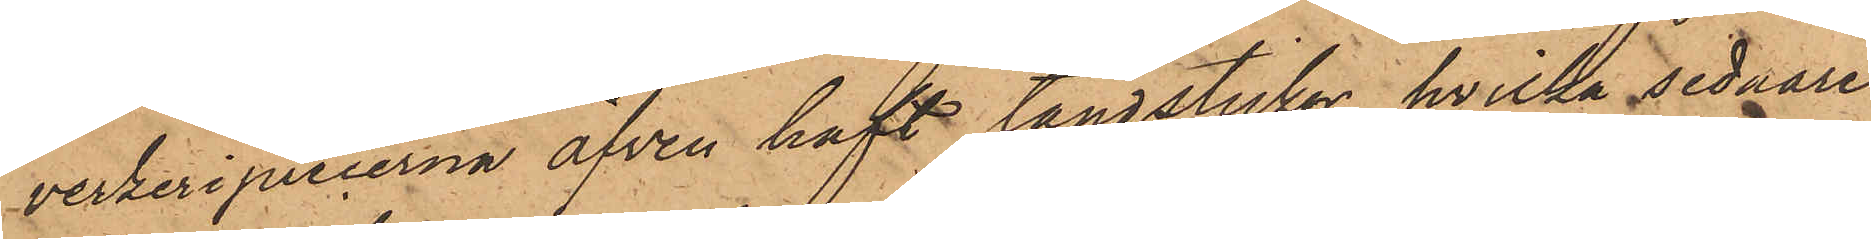verkeripiecerna äfven haft tändstickor, hvilka sednare
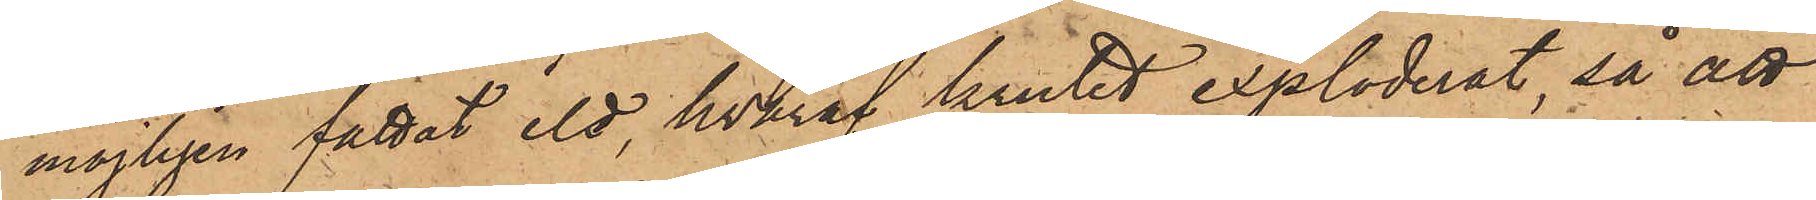möjligen fattat eld, hvaraf krutet exploderat, så att
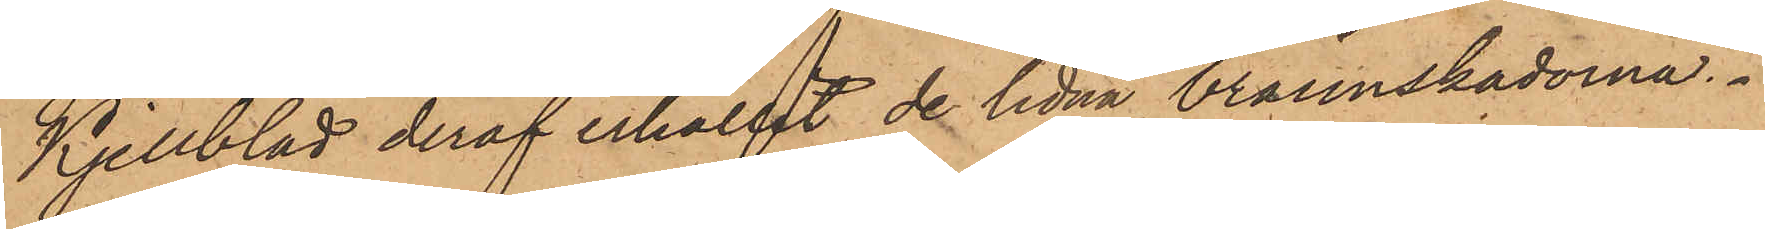Kjellblad deraf erhållit de lidna brännskadorna.
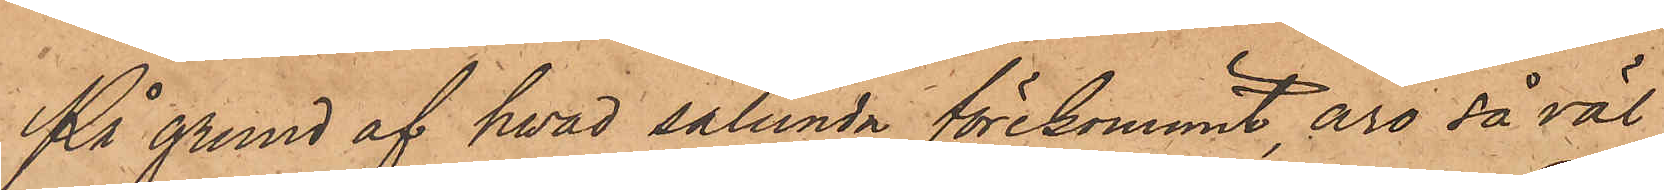På grund af hvad sålunda förekommit, äro såväl
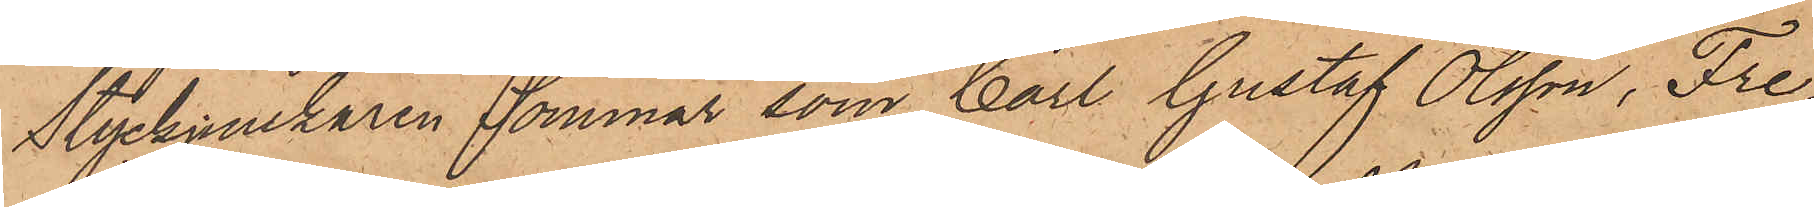Styckjunkaren Sommar som Carl Gustaf Olsson, Fre¬
